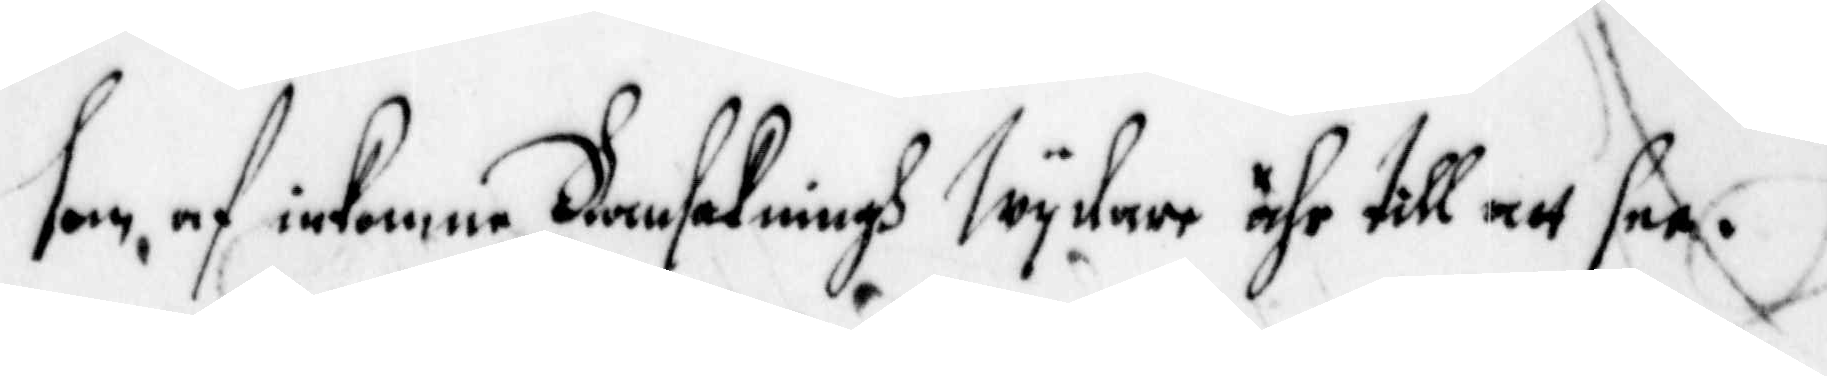som, af inkomne Ransakningh Wydare ähr till att see.
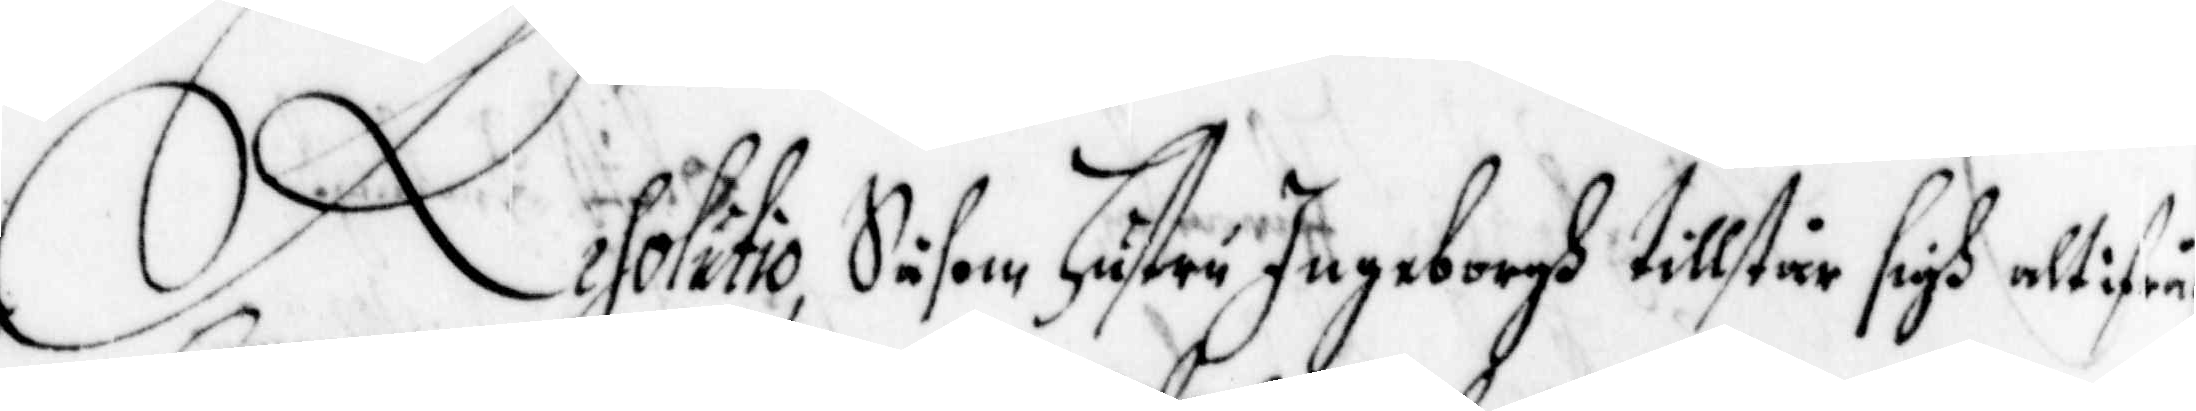Resolutio, Såsom Hustru Ingeborgh tillstår sigh alt ifrån
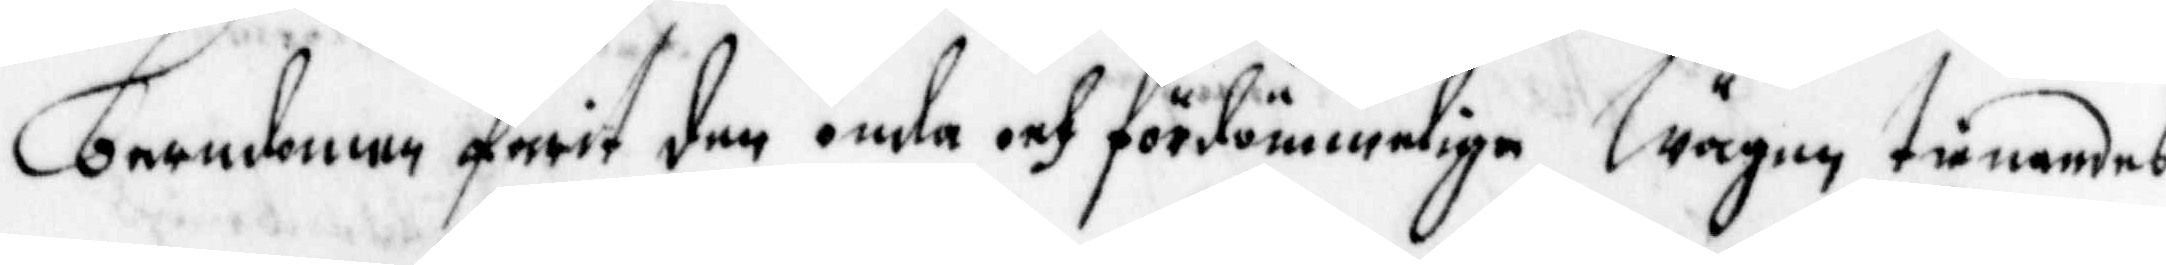barndomen farit den onda och fördömmeliga Wägen, tienandes
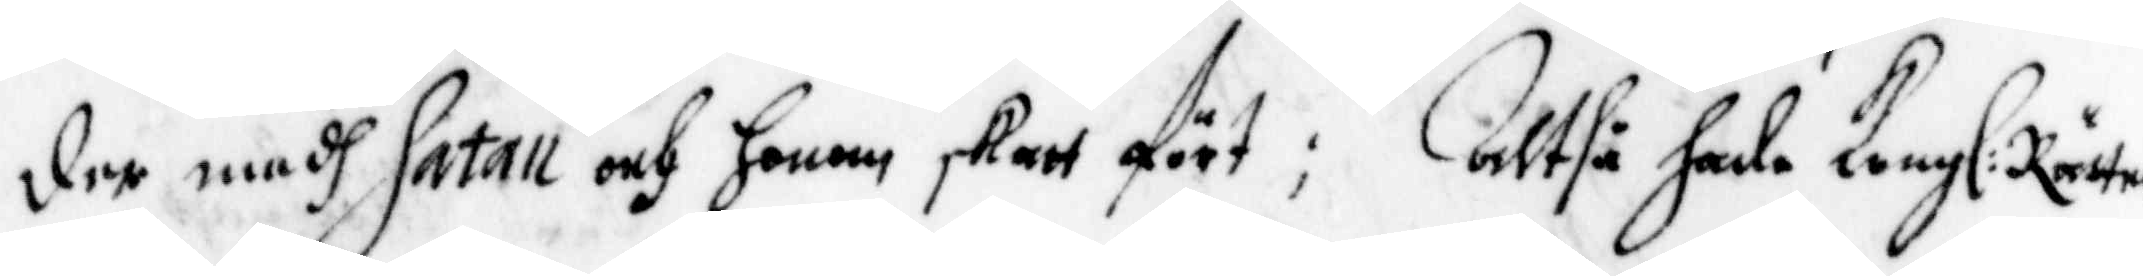der medh Satan och honom skatt fört; Altså hade Kongl: Rätten
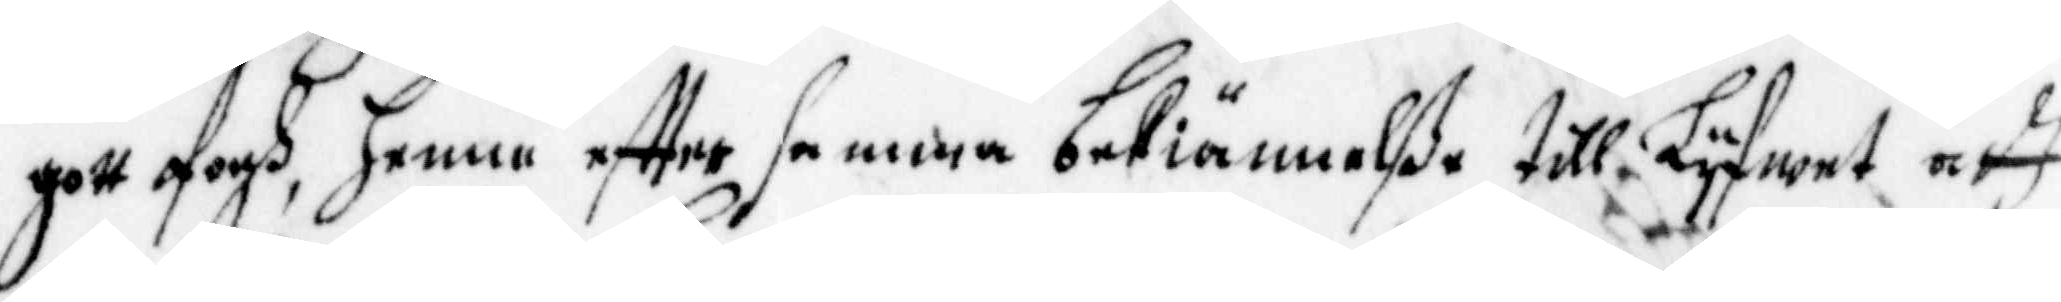gott ofogh, henne effter samma bekiännelße till Lyfwet att
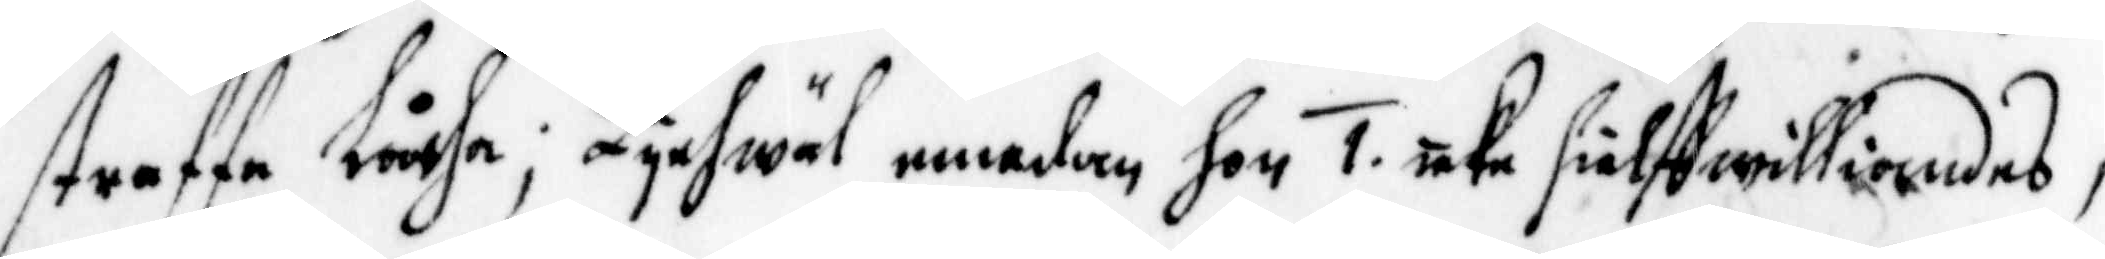straffa Låtha; Lychwäl emedan hon 1. icke sielff williandes,
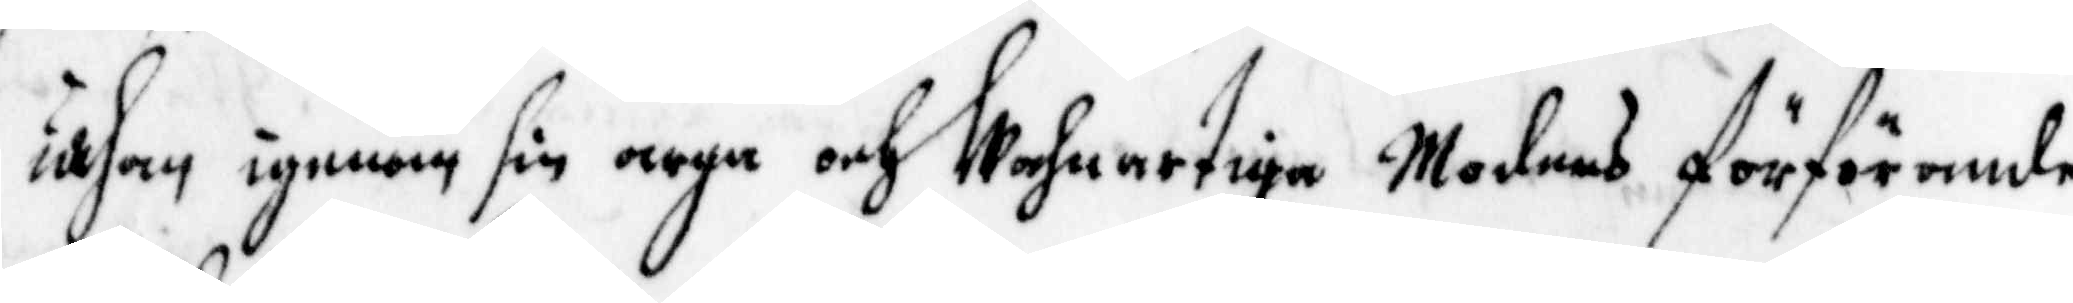uthan igenom sin egen Wahnartiga Moders förförande,
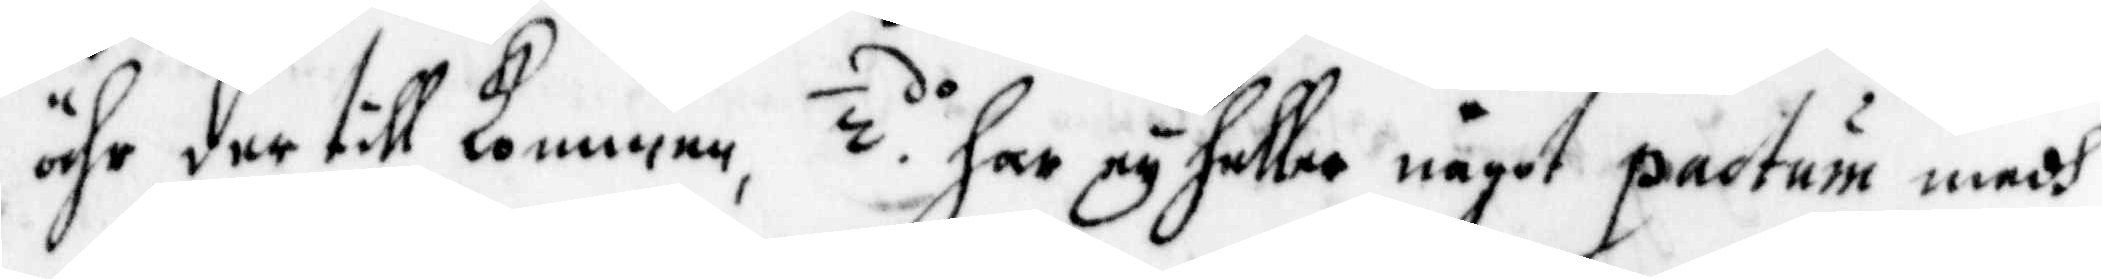ähr der till kommen, 2. do har ey heller något pactum medh
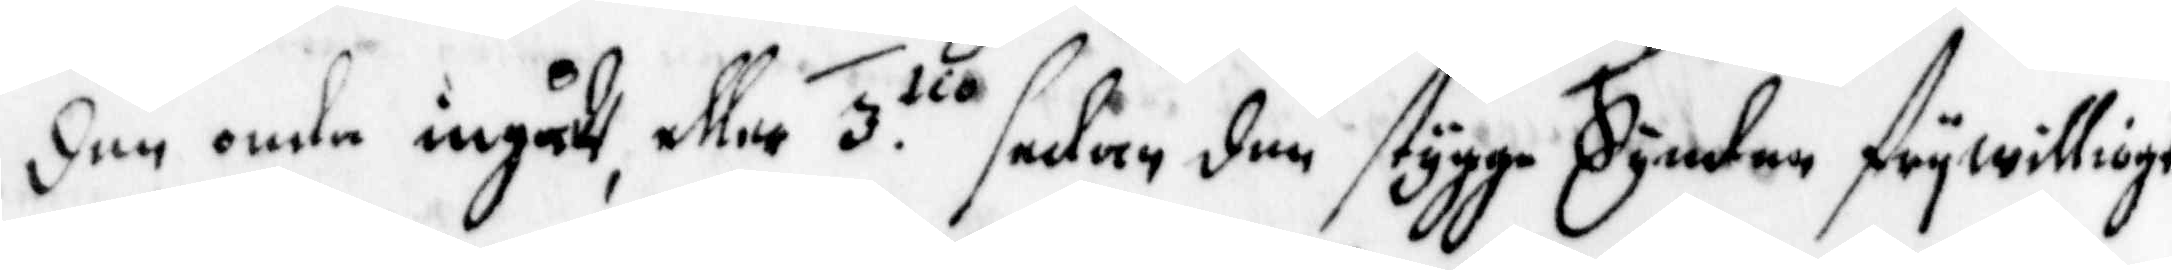den onda ingådh, eller 3. tio sedan den stygga Synden frywilligt
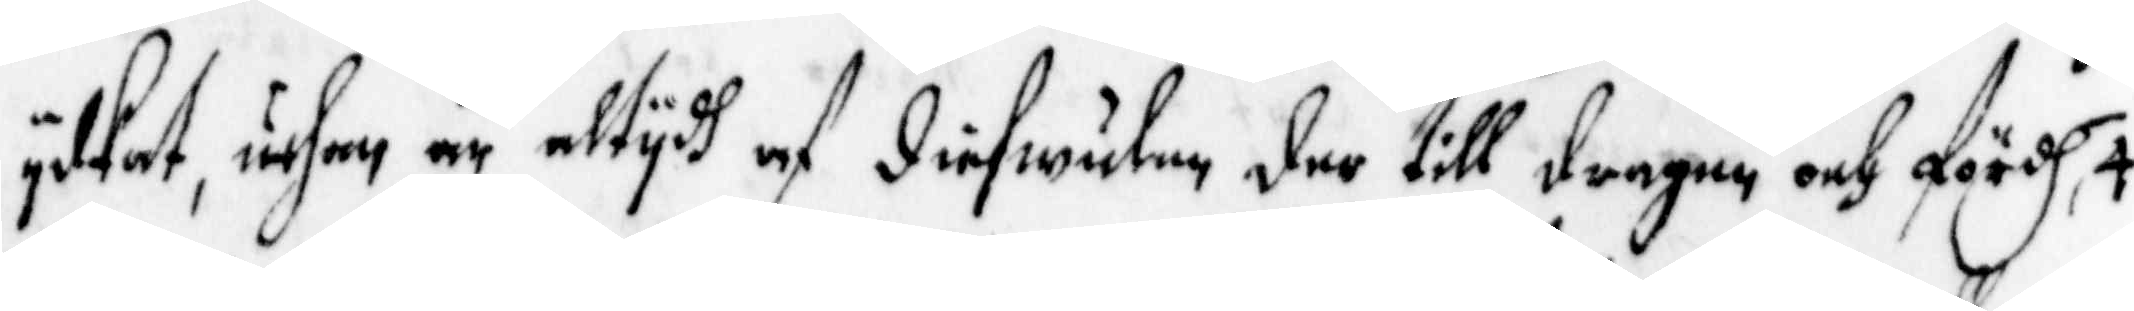ydkat, uthan är altydh af diefwulen der till dragen och fördh, 4.
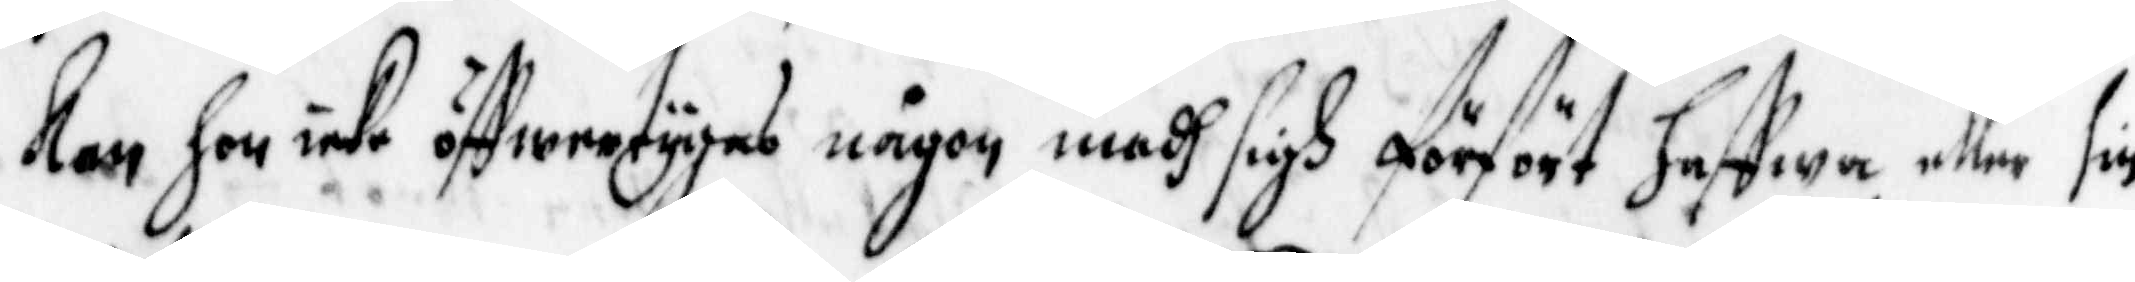kan hon icke öffwertygas någon medh sigh förfört haffwa, eller sin
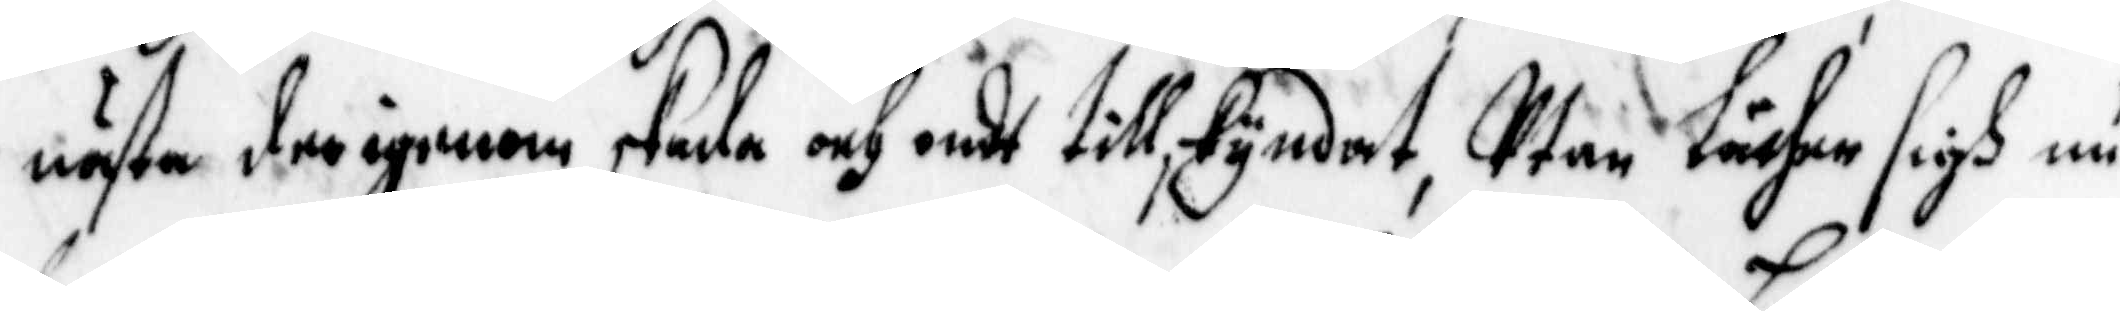nästa derigenom skada och ondt tillskyndat, Utan Låther sigh nu
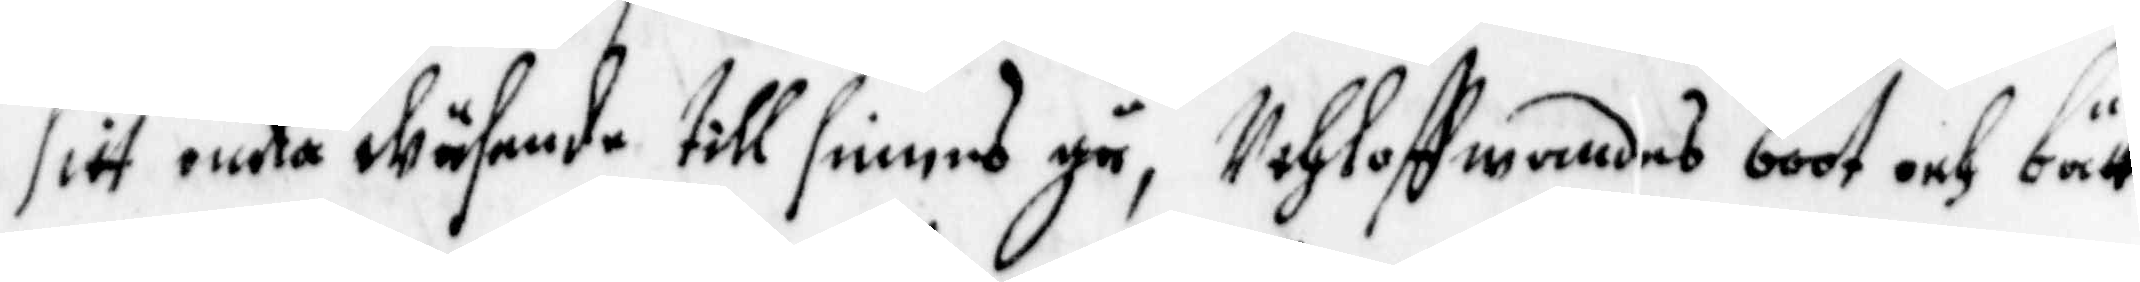sitt onda wäsende till sinnes gå, Uthloffwandes boot och bätt¬
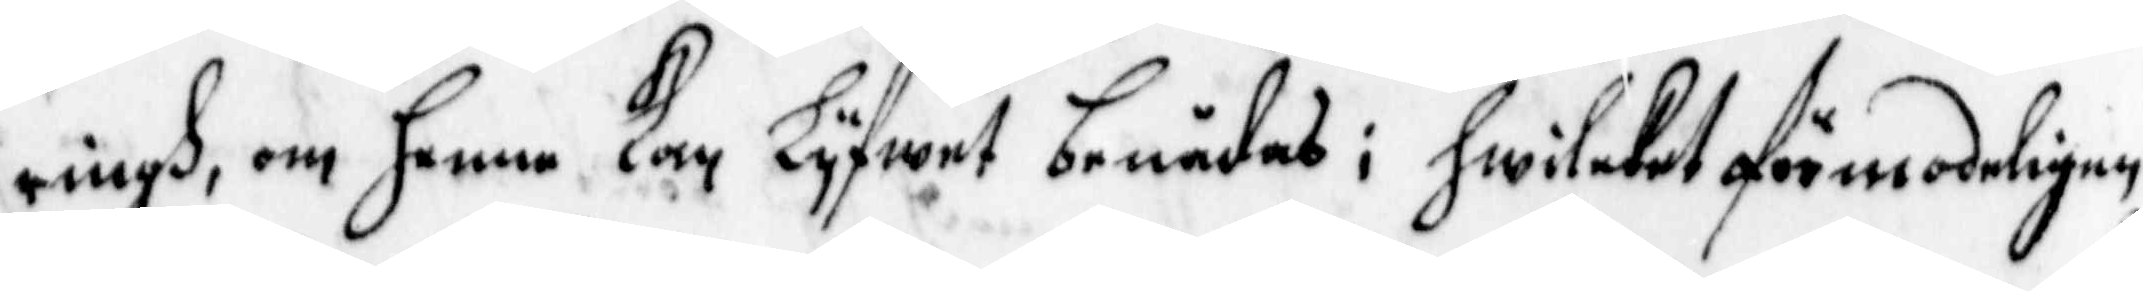ringh, om henne Kan Lyfwet benådas; hwilcket förmodeligen
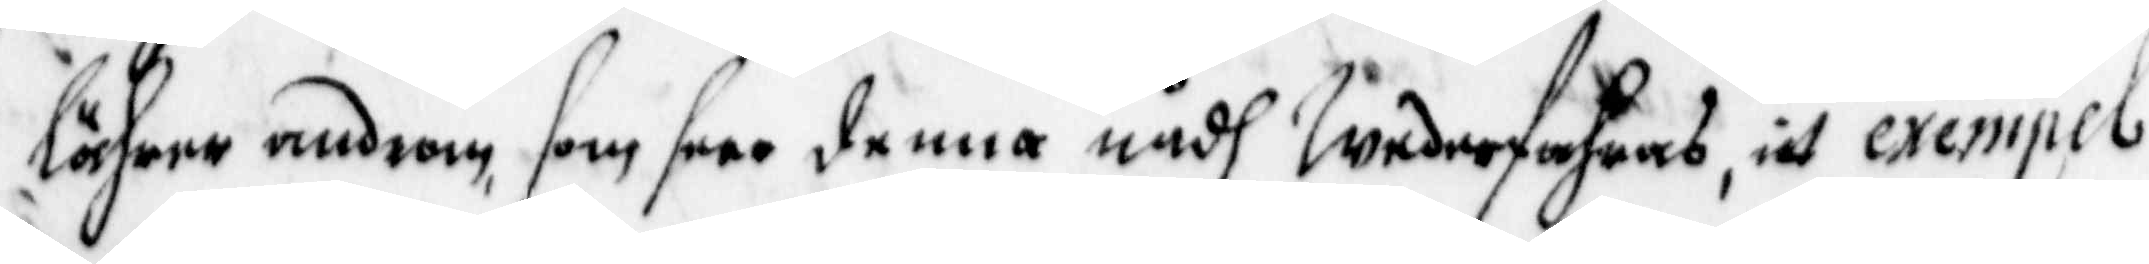lährer androm, som seer denna nådh Wederfahras, itt exempel
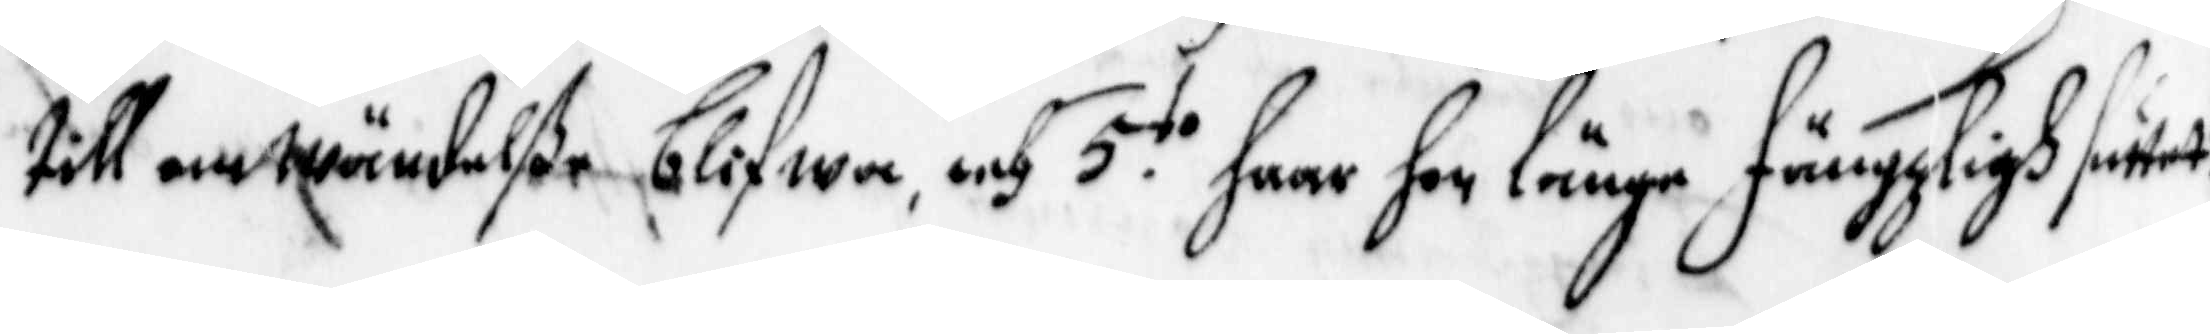till omwändelße blifwa, och 5 to huar hon länge fängzligh suttet:
